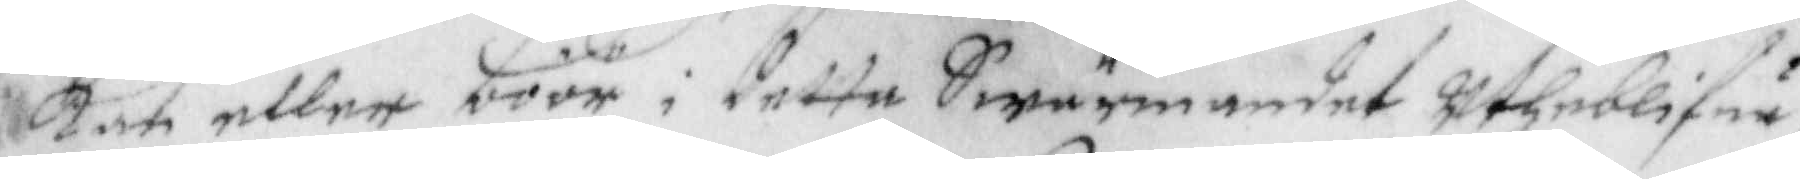kan eller böör i detta Swärmandet utheblifue
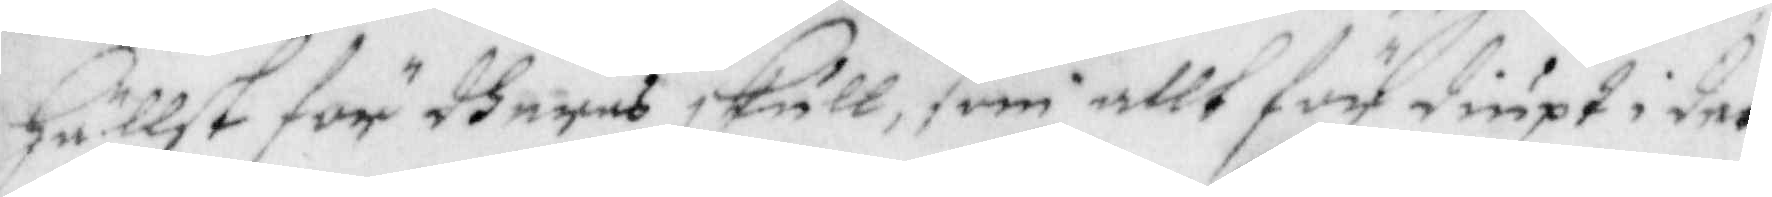Hällst för dheres skull, som allt för diupt i det
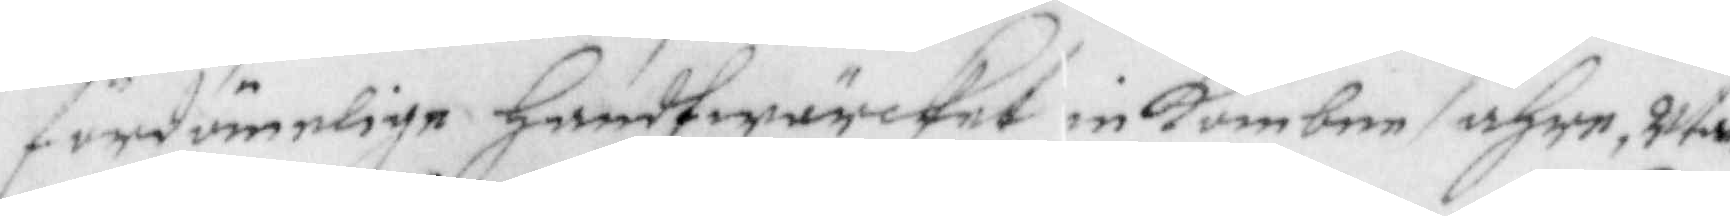fördömelige handtwärcket inkombne ähre, utan
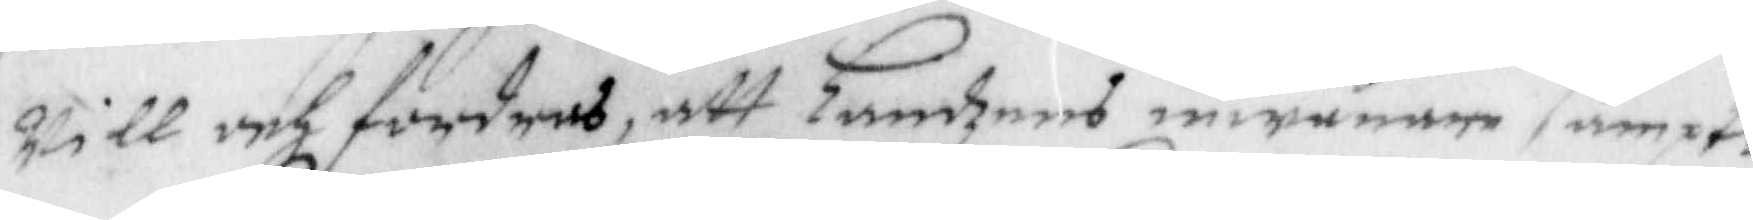will och fordras, att Landzens inwånare sampt
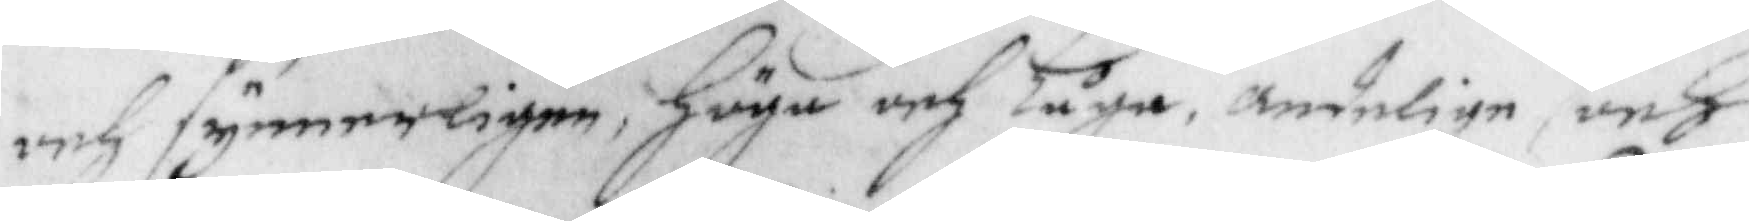och synnerligen, höga och Låga, andelige och
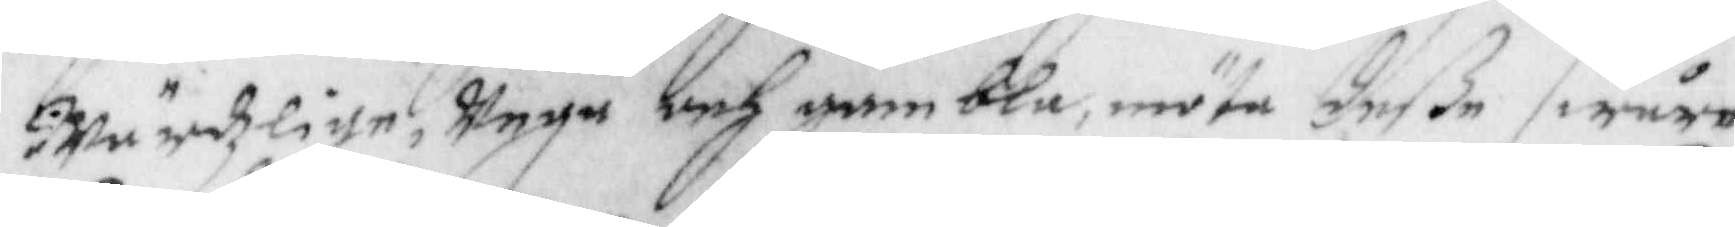wärdzlige, Unga och gambla, möta deße swåre
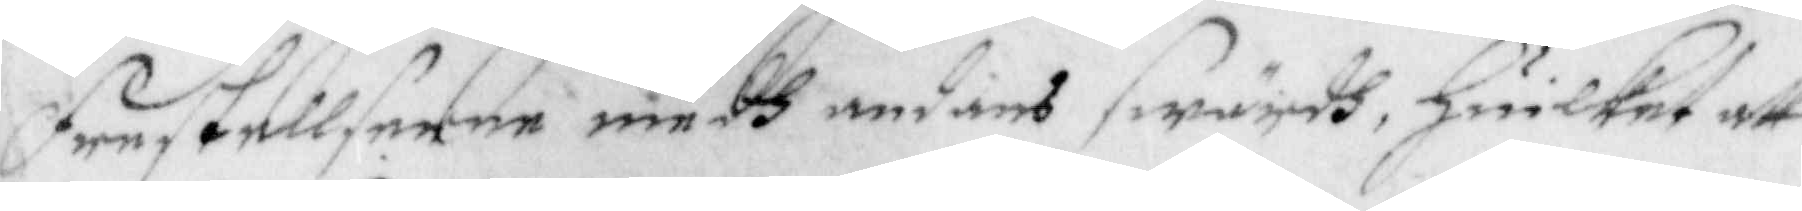Frestellserne medh andans seärdh, huilket att
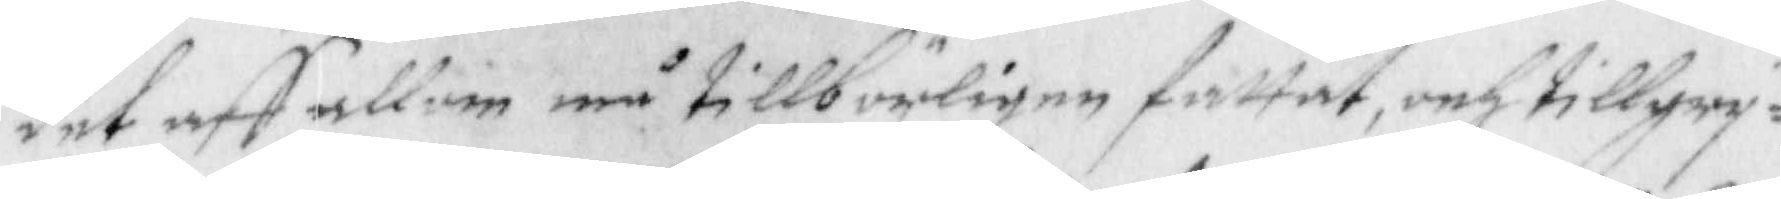det aff allom må tillbörligen fattat, och tillgry¬
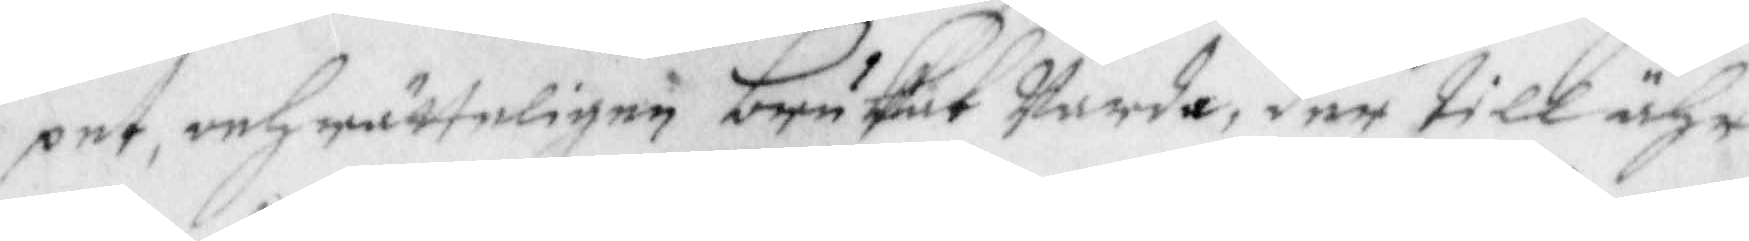pet, och rätteligen brukat warda, der till ähr
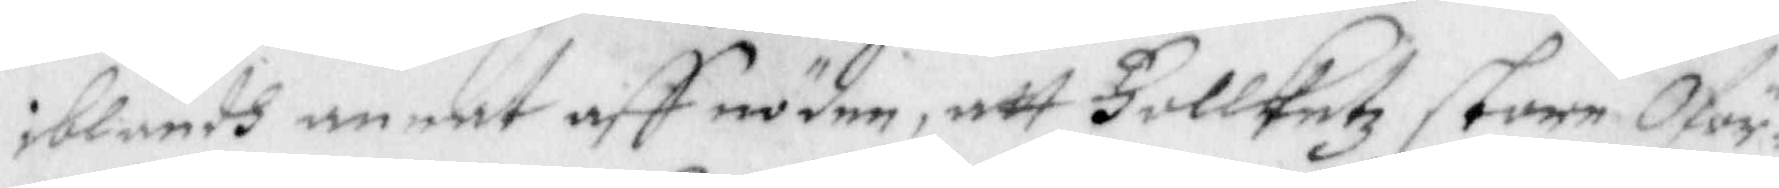iblandh annat aff nöden, att Follketz store Oför¬
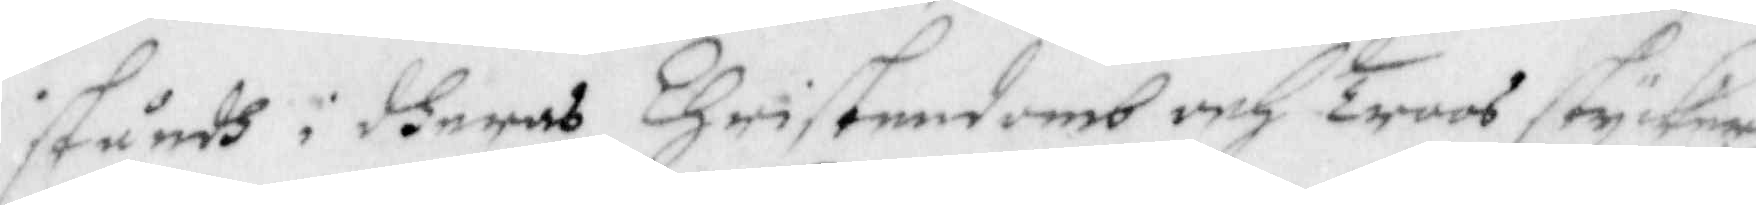ståndh i dheras Christendomb och Troos stycken
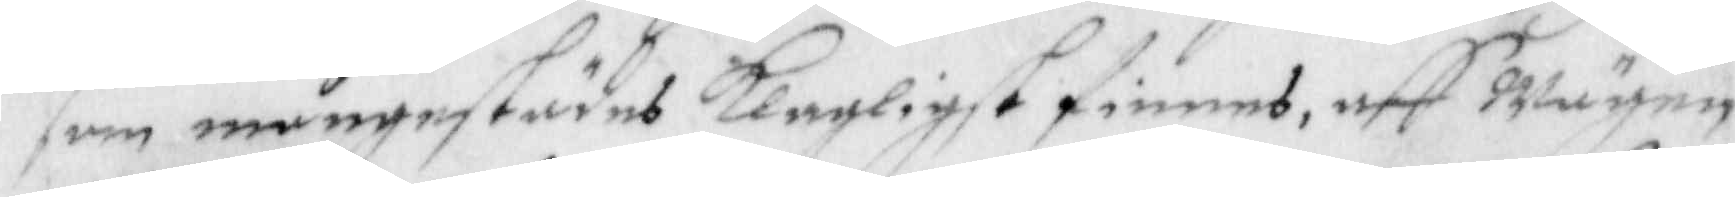som mångestädes Klagligst finnes, aff wägen, 
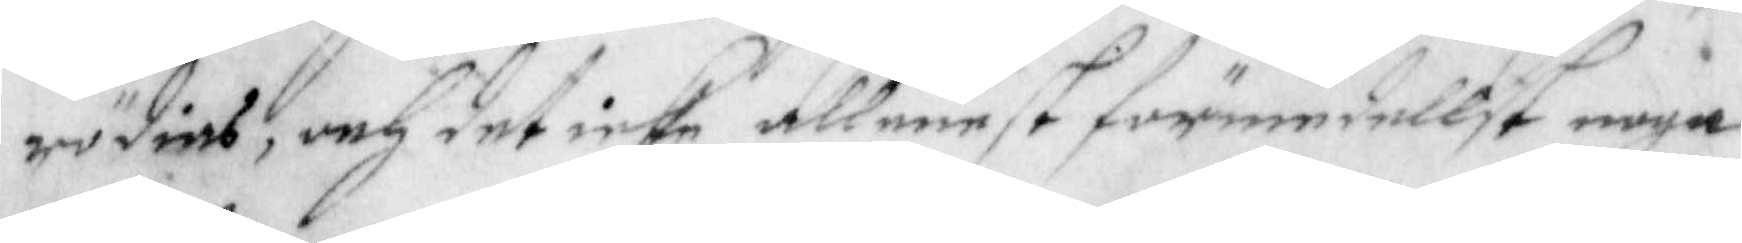rödias, och det icke allenest förmedellst noga
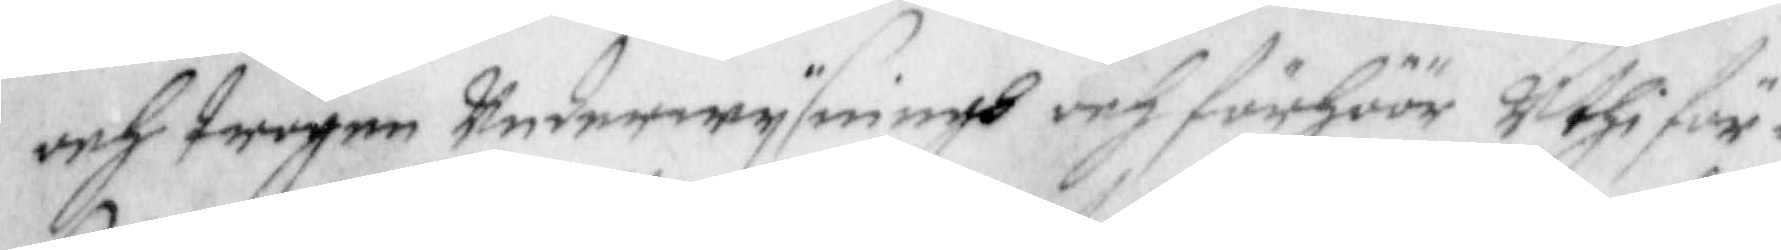och trogen underwysningh och förhör uthi för¬
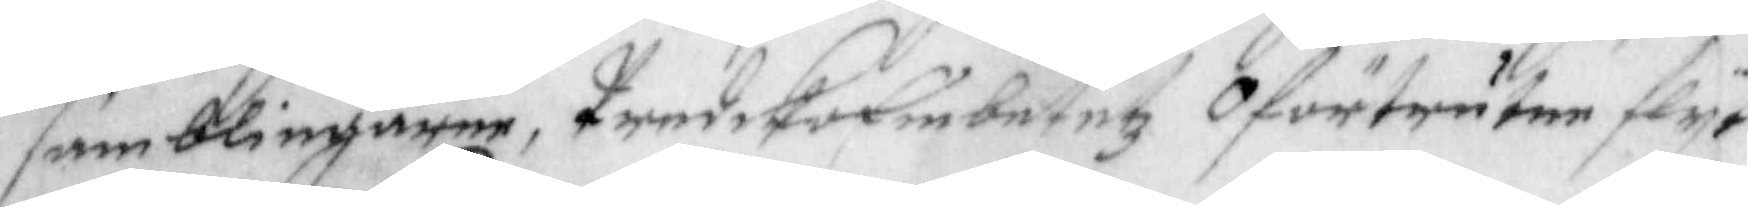samblingarne, PredikoEmbetetz Oförtrutne flyt
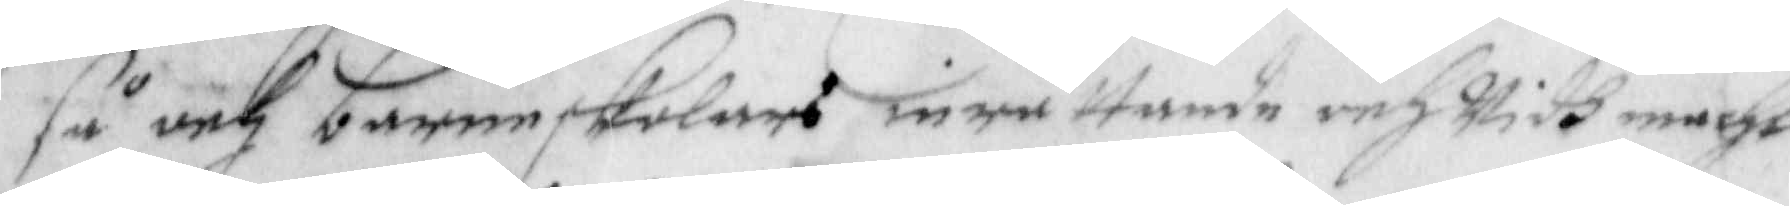så och barneskolans inrättande och widh macht
